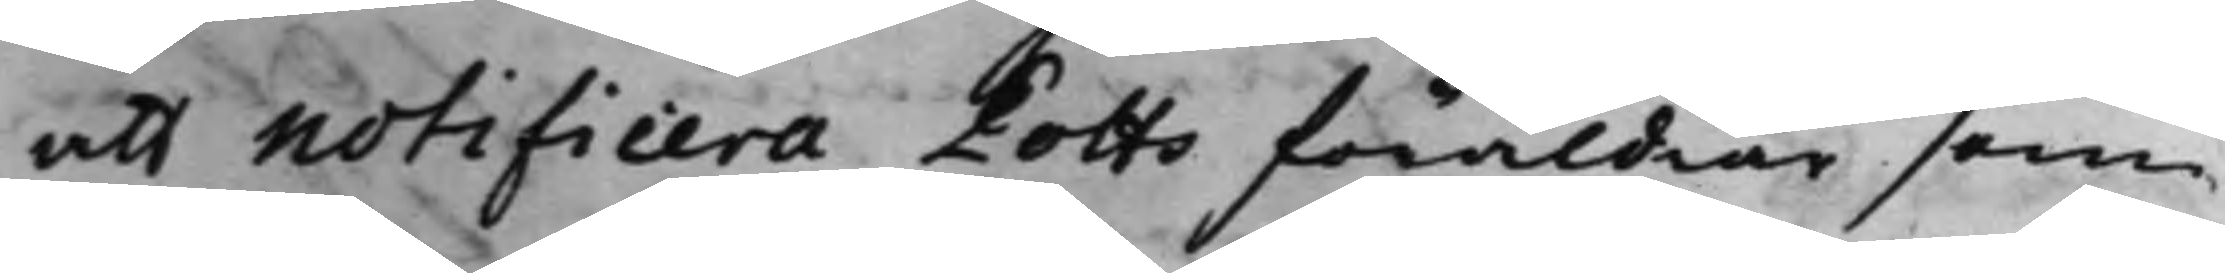att Notificera Potts föräldrar som
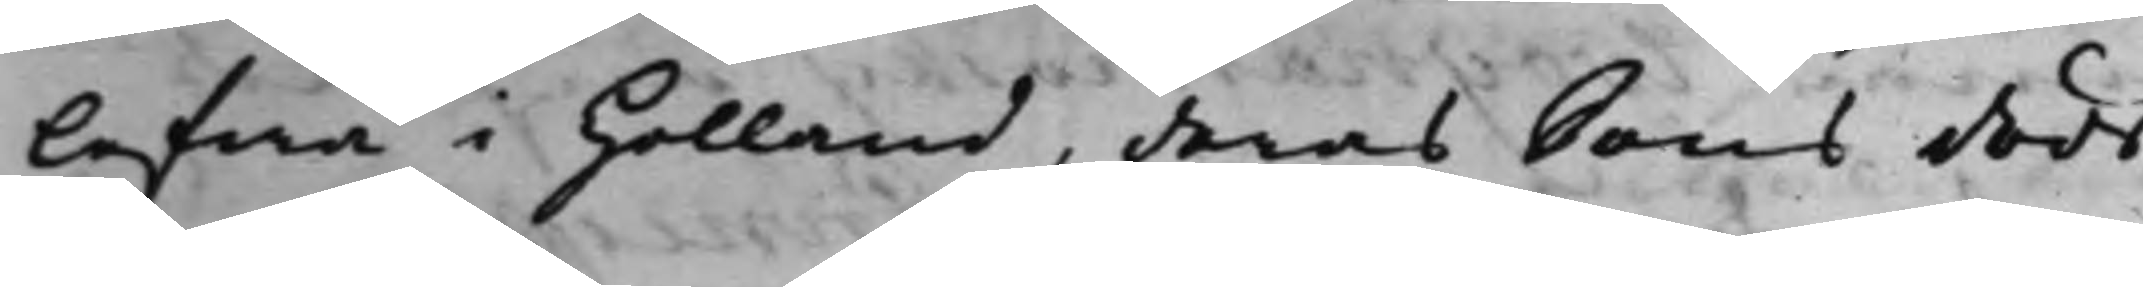lefwa i Holland, deras Sons döds¬
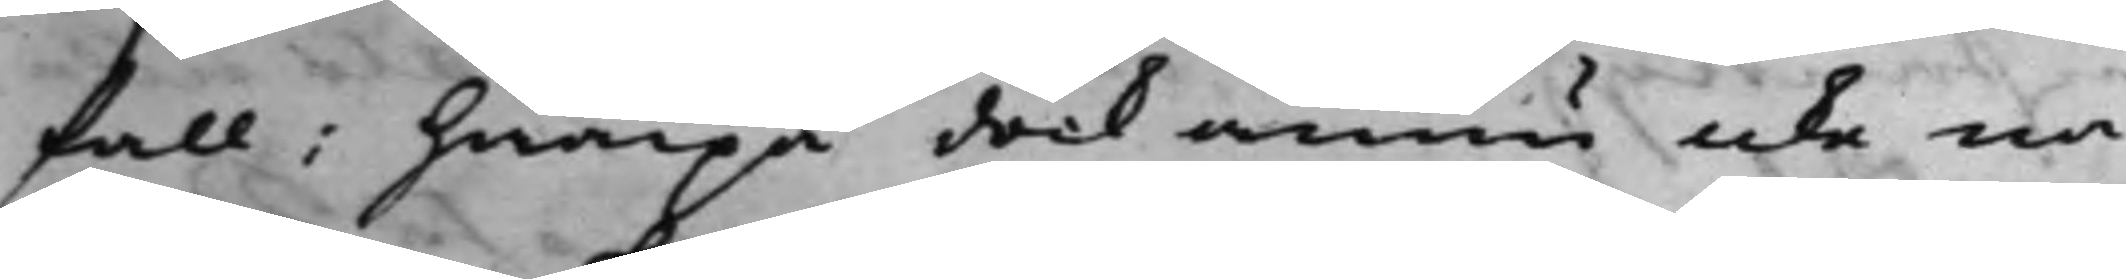fall: hwarpå dock ännu icke nå¬
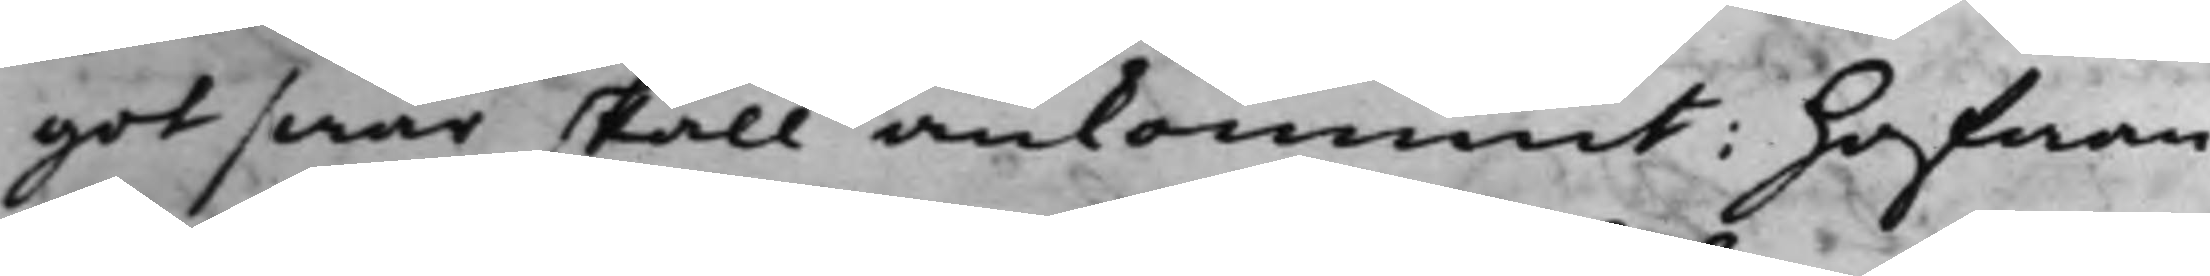got swar skall ankommit: hafwan¬
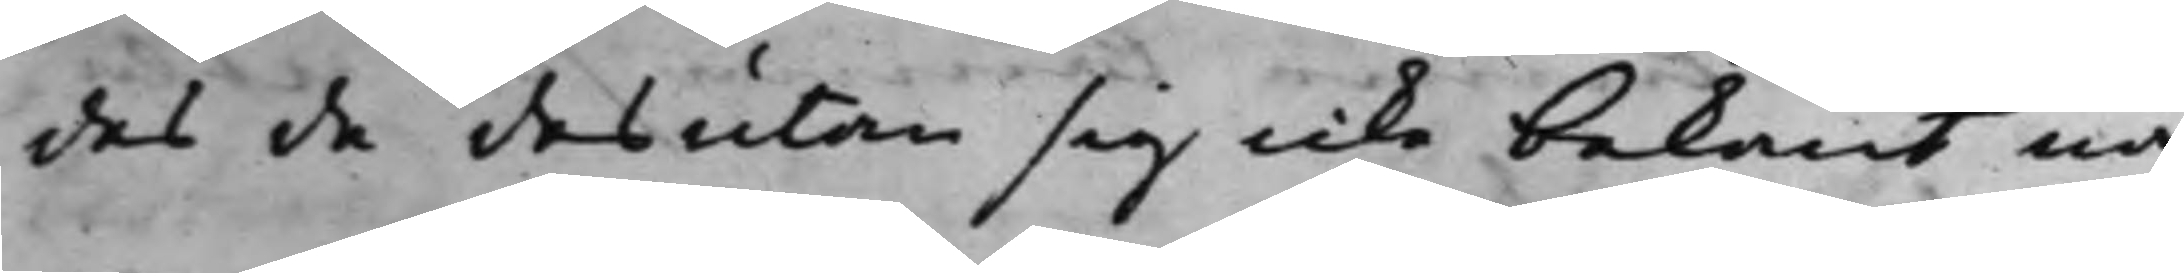des de desutan sig icke bekant nå¬
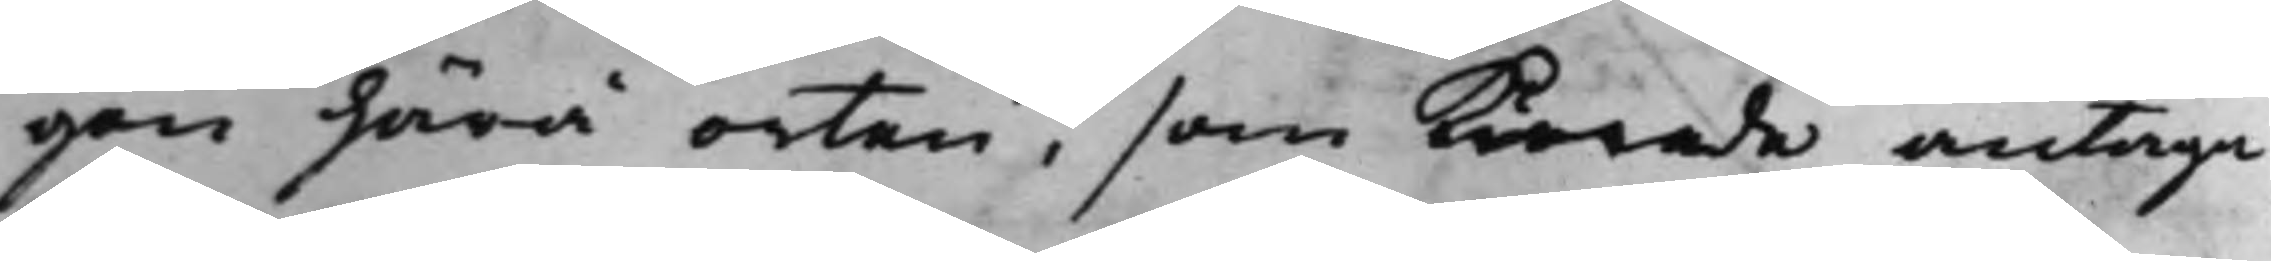gon härå orten, som kunde antaga
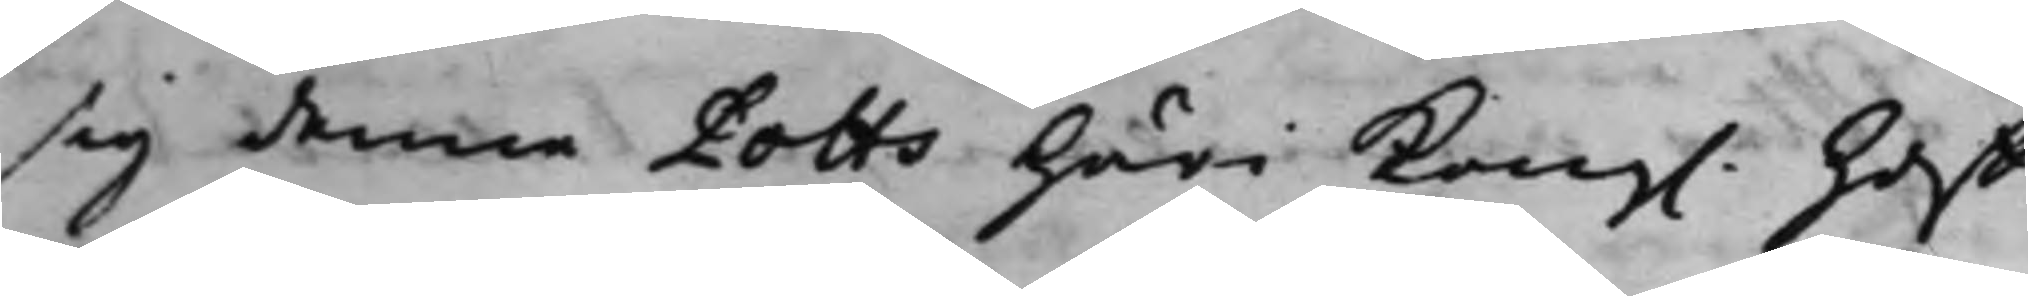sig denne Potts häri Kong. Hoff¬
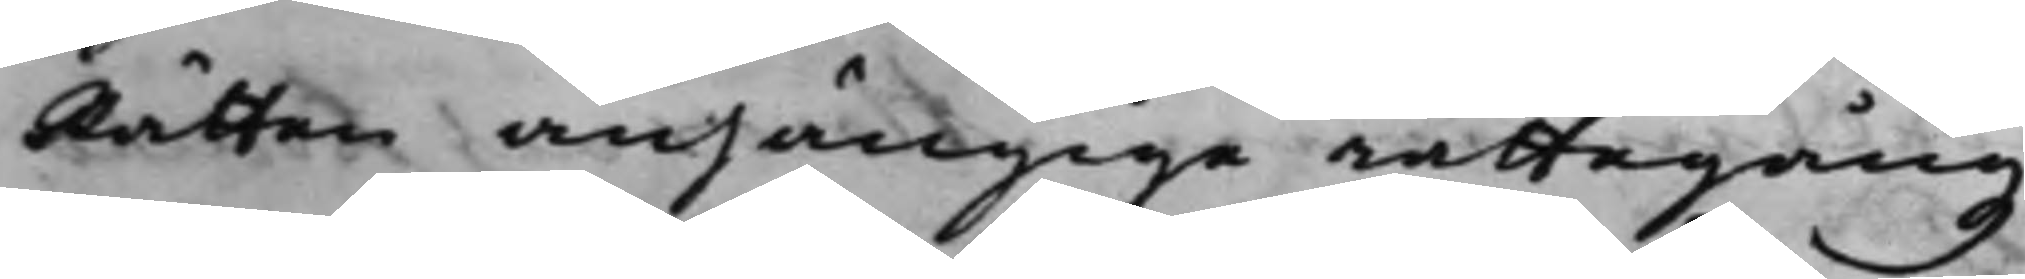Rätten anhängige rättegångz
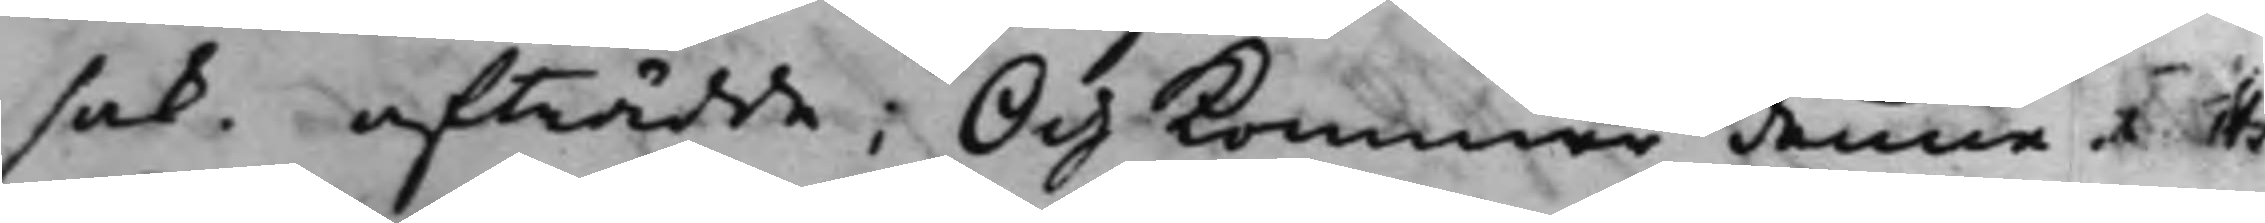sak. afträdde; Och kommer denne Rätts
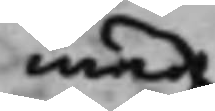med
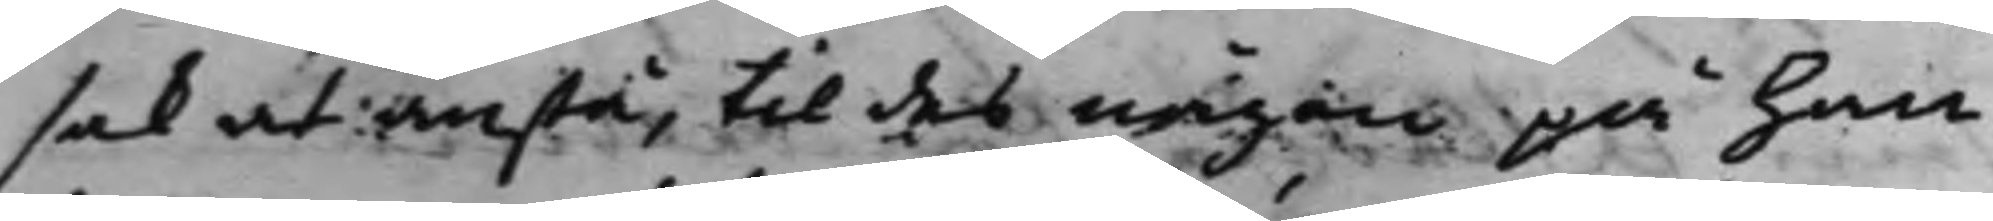sak at anstå, til des någon på Han¬
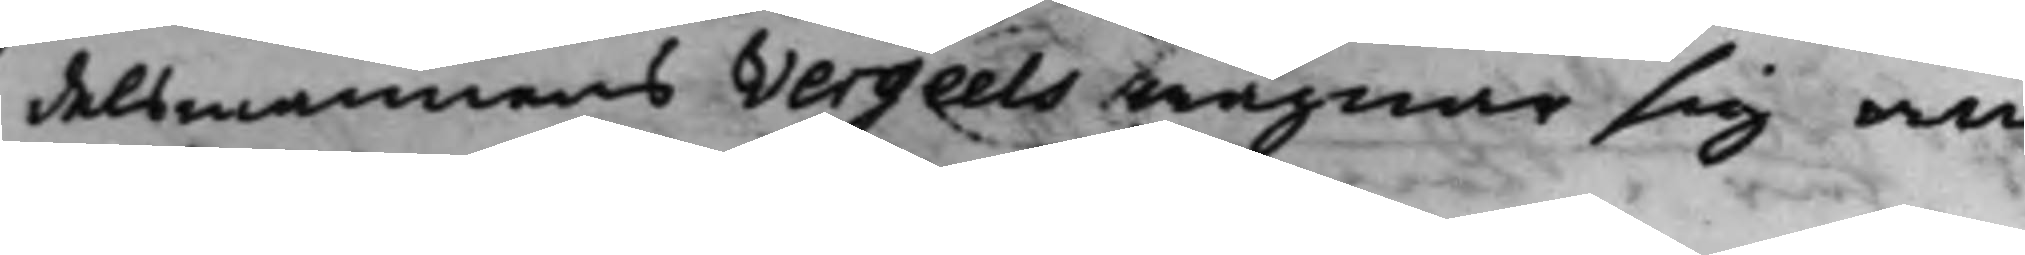delsmannens Vergeels wägnar sig an¬
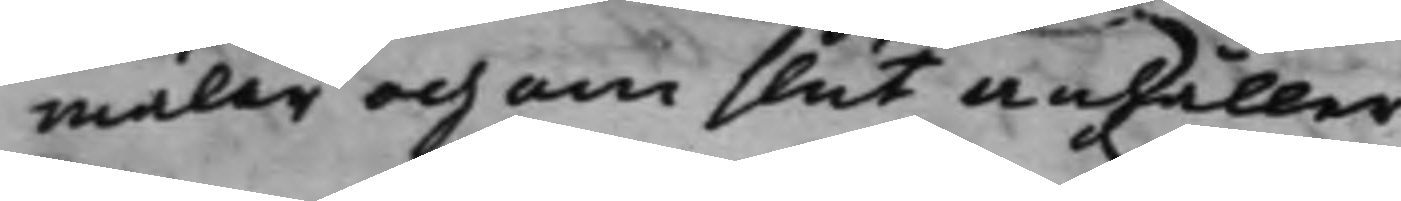mäler och om slut anhåller.
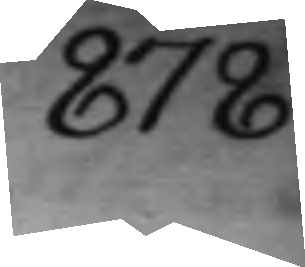878.
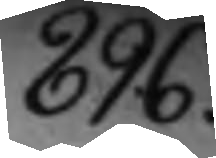896.
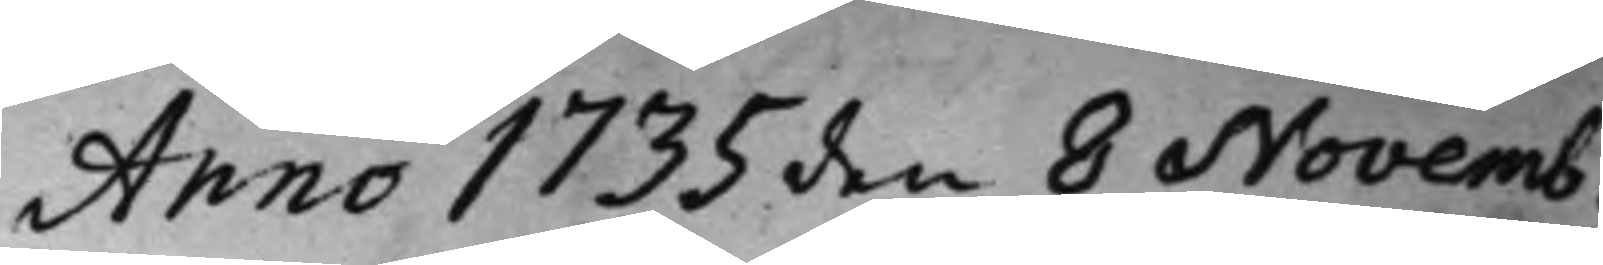Anno 1735 den 8 Novemb.
